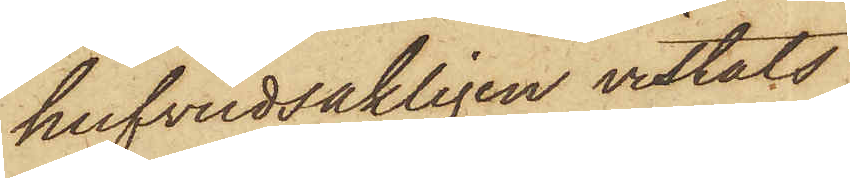hufvudsakligen vistats
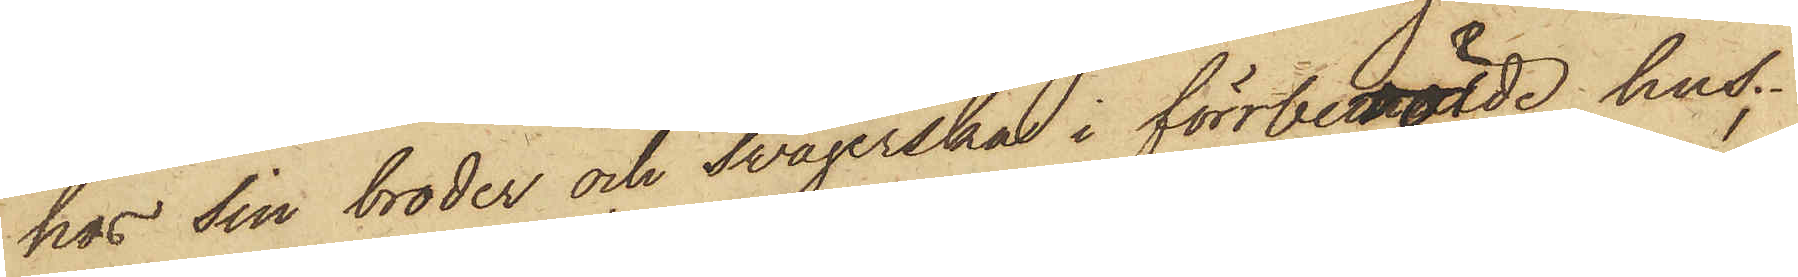hos sin broder och svägerskan i förrberörde hus;
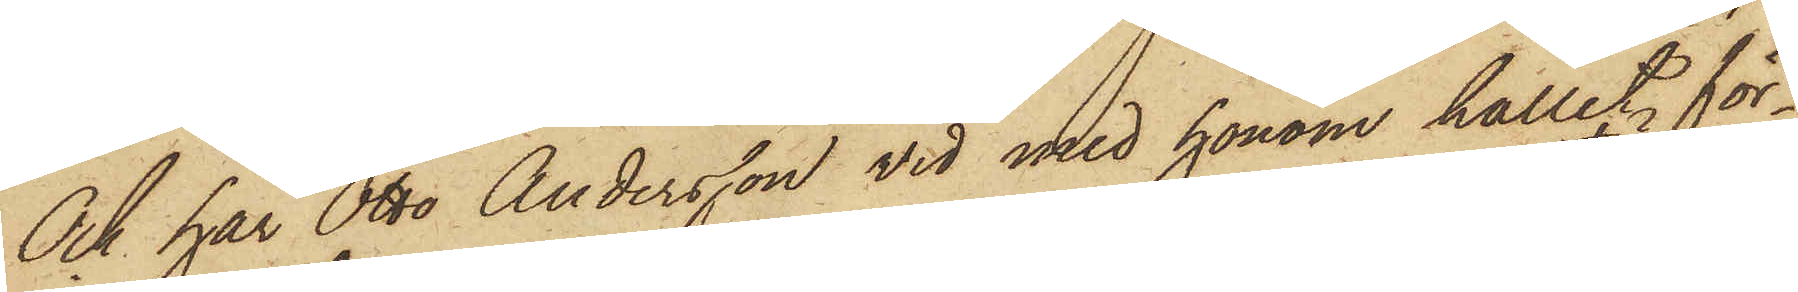Ock har Otto Andersson vid med honom hållit för¬
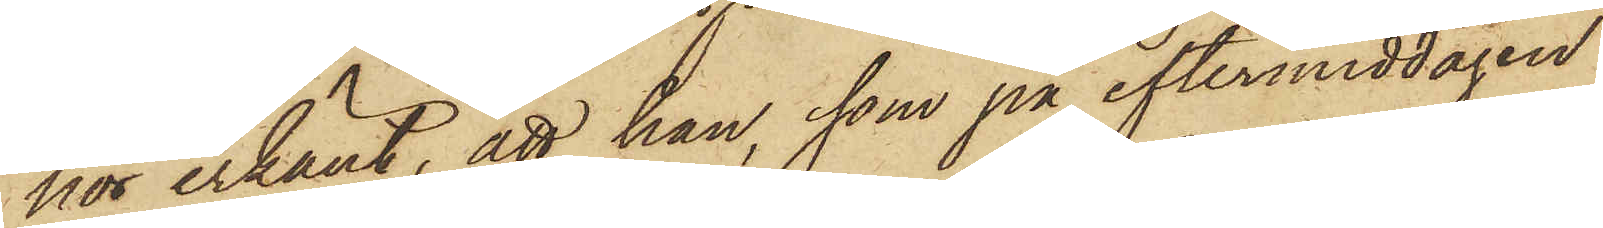hör erkänt, att han, som på eftermiddagen
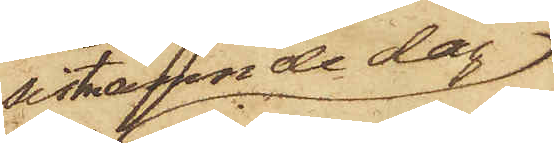sistnämnde dag
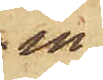in¬
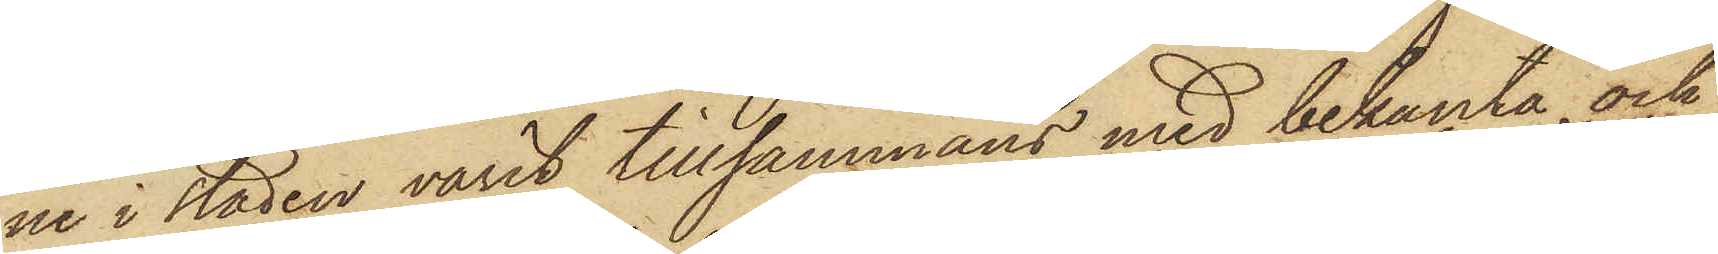ne i staden varit tillsammans med bekanta och
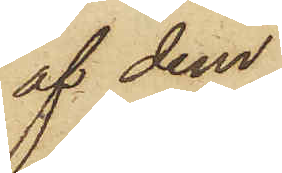af dem
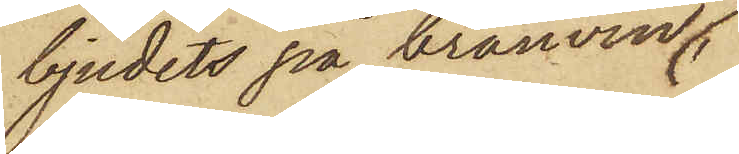bjudits på brännvin;
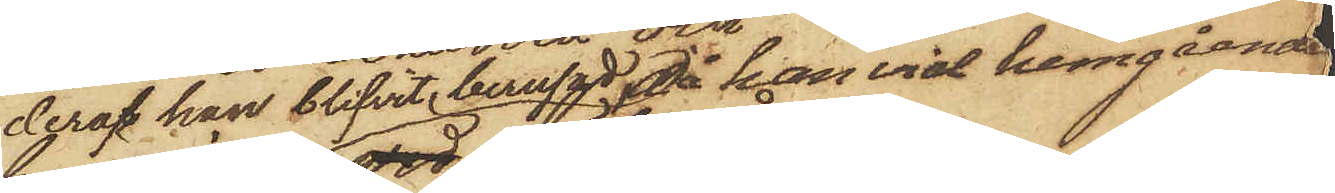deraf han blifvit berusad, då han vid hemgående
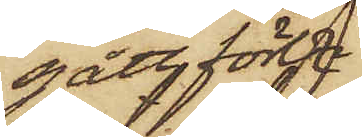gått förbi
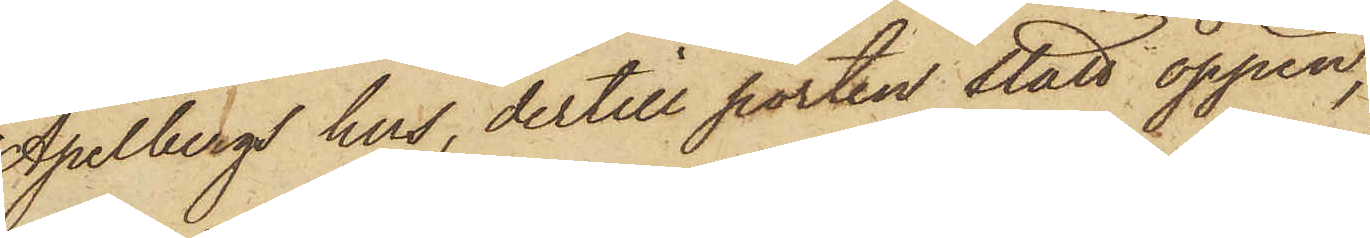Apelbergs hus, dertill porten stått öppen,
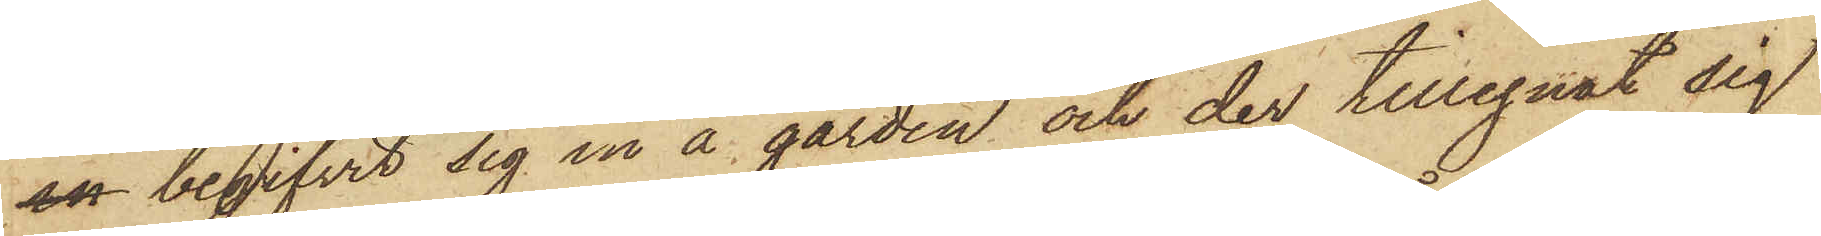in begifvit sig in å gården och der tillegnat sig
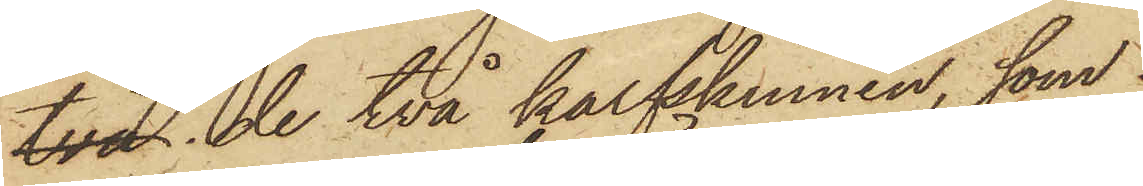två de två kalfskinnen, som
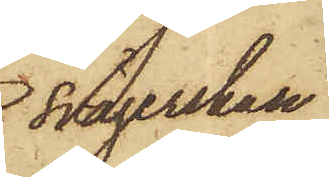svägerskan
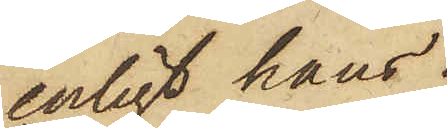enligt hans
